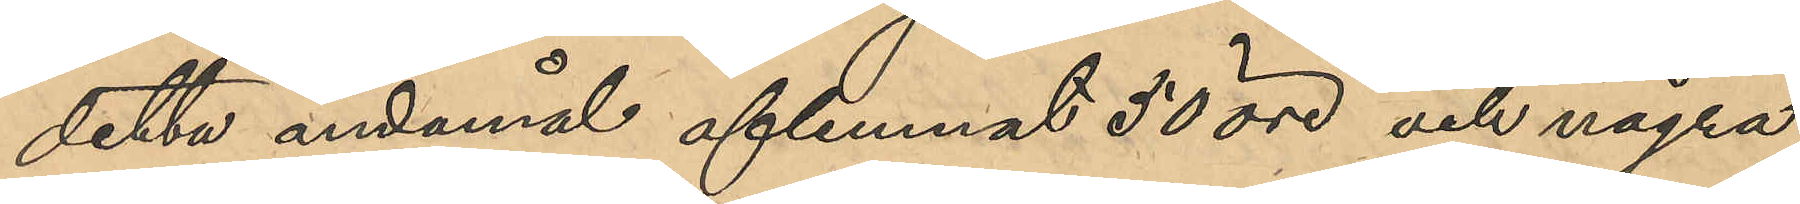detta ändamål aflemnat 50 öre och några
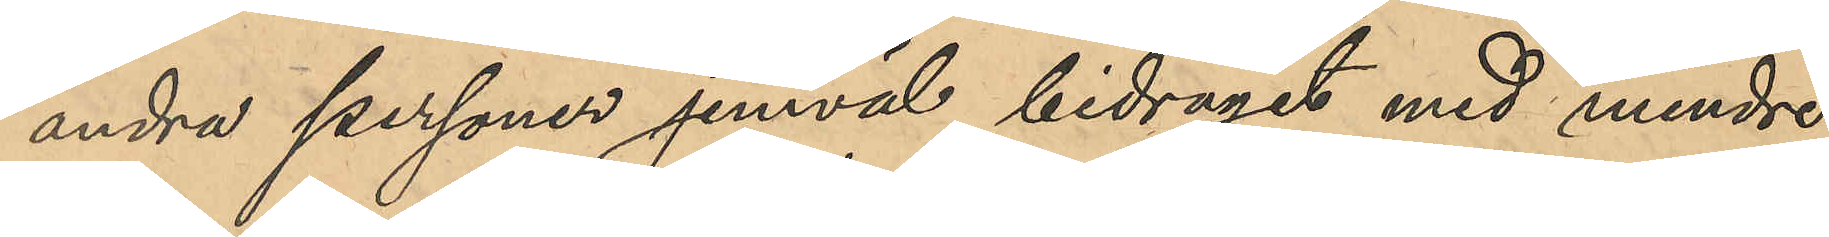andra personer jemväl bidragit med mindre
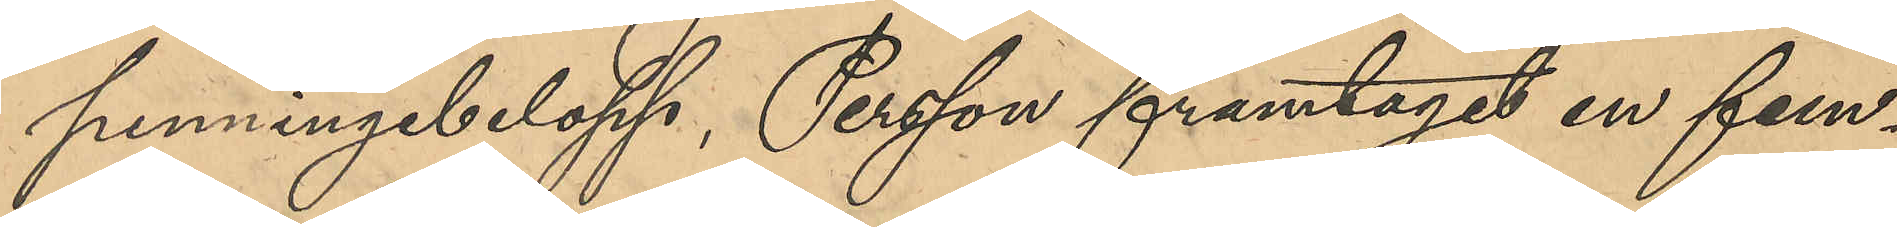penningbelopp, Persson framtagit en fem¬
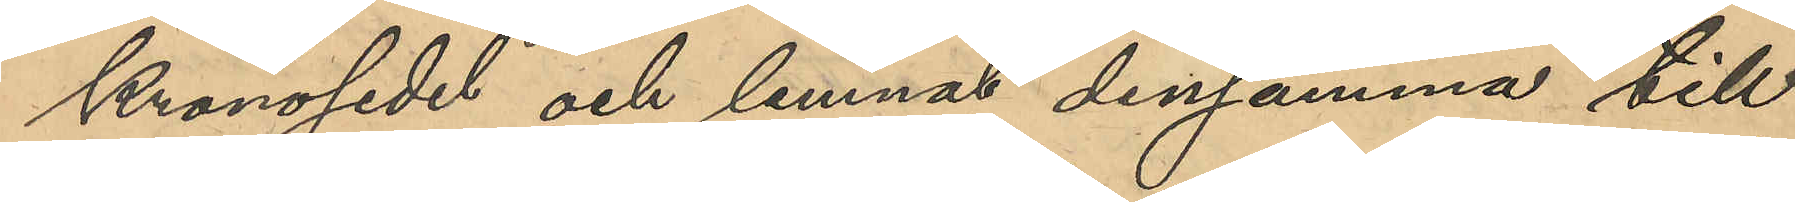kronosedel och lemnat densamma till
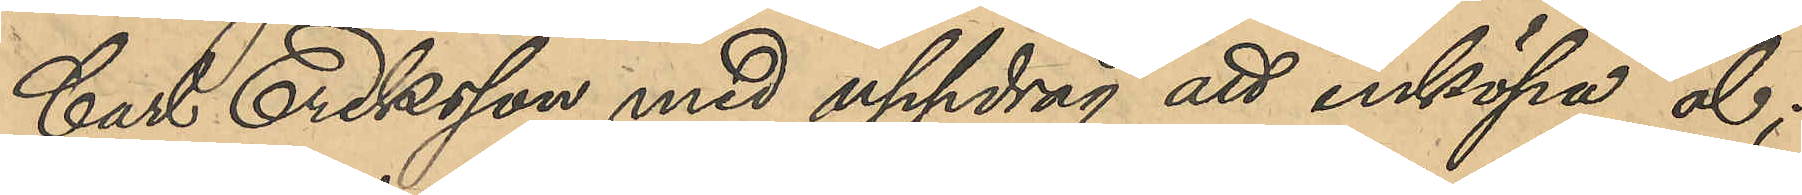Carl Eriksson med uppdrag att inköpa öl;
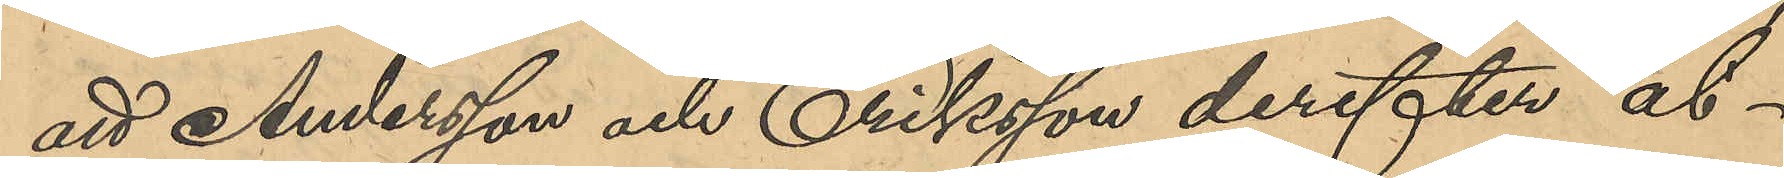att Andersson och Eriksson derefter åt¬
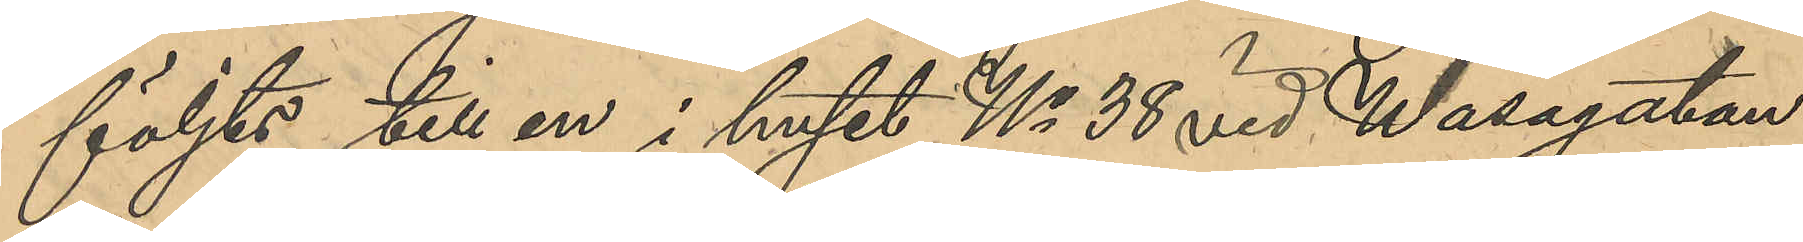följts till en i huset No 38 vid Wasagatan
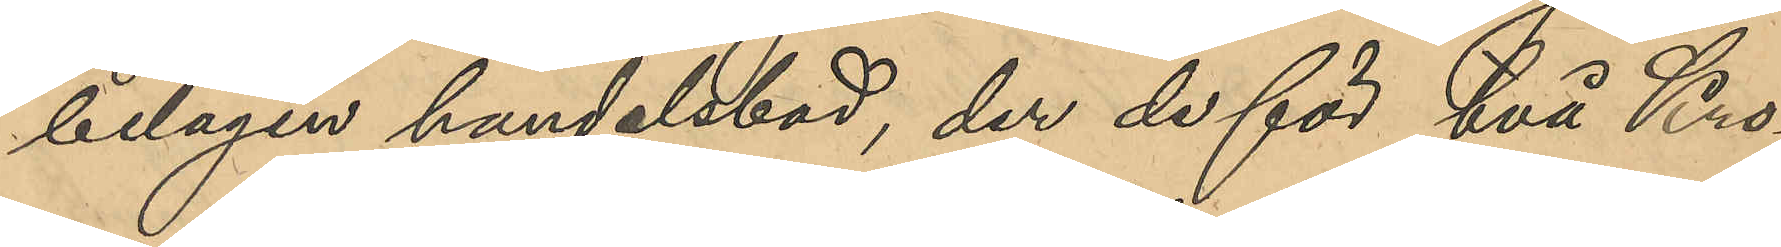belägen handelsbod, der de för två Kro¬
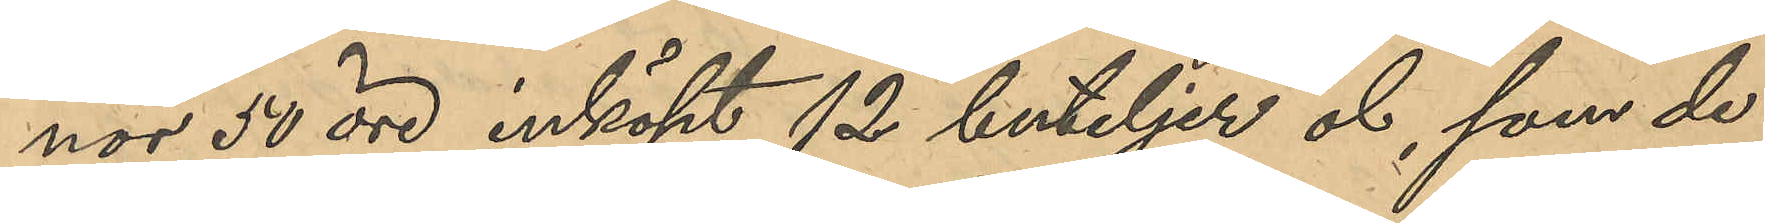nor 50 öre inköpt 12 buteljer öl, som de
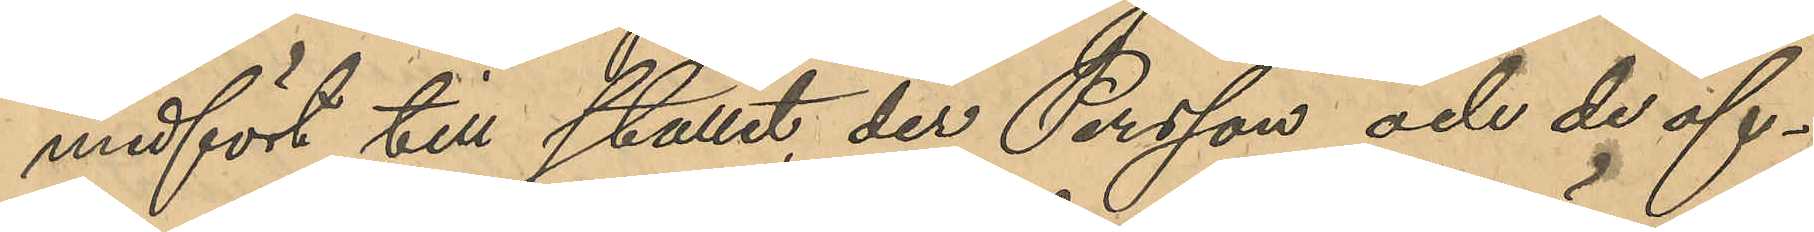medfört till stället, der Persson och de öf¬
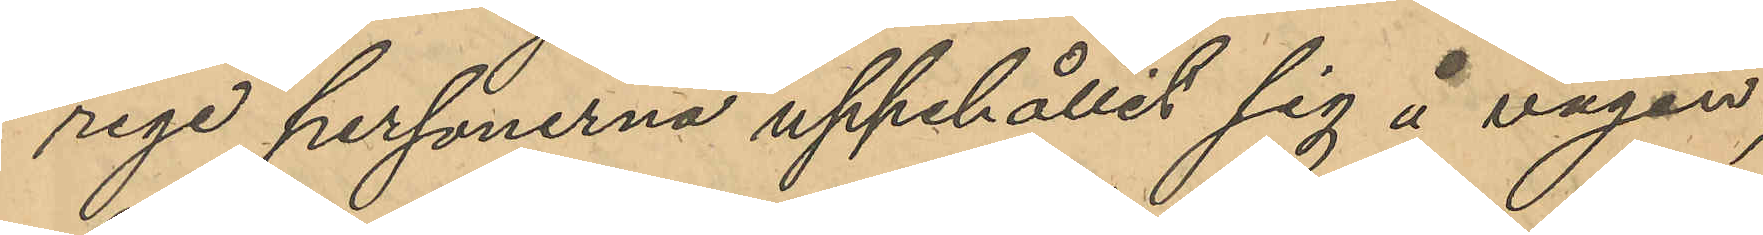rige personerna uppehållit sig å vägen;
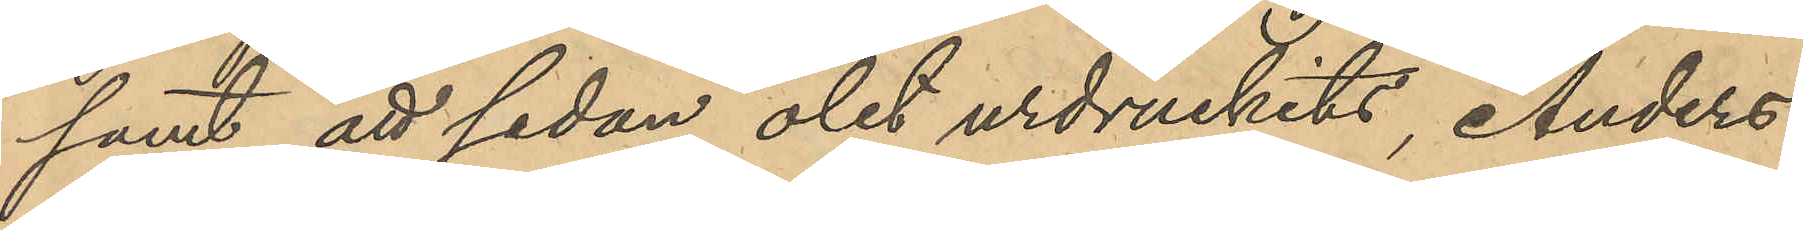samt att sedan det urdruckits, Anders¬
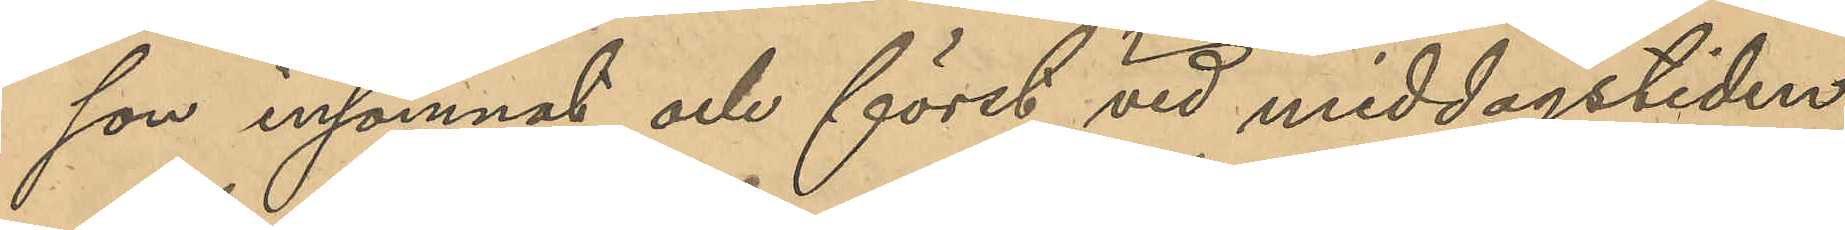son insomnat och först vid middagstiden
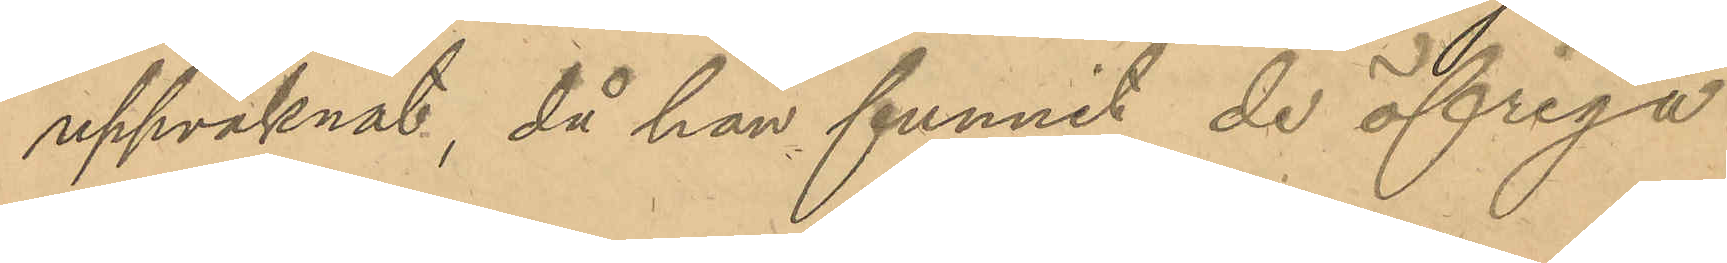uppvaknat, då han funnit de öfriga
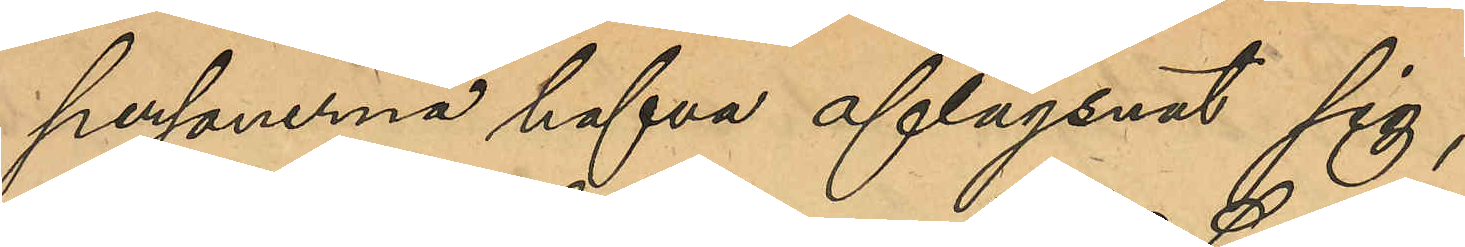personerna hafva aflägsnat sig;
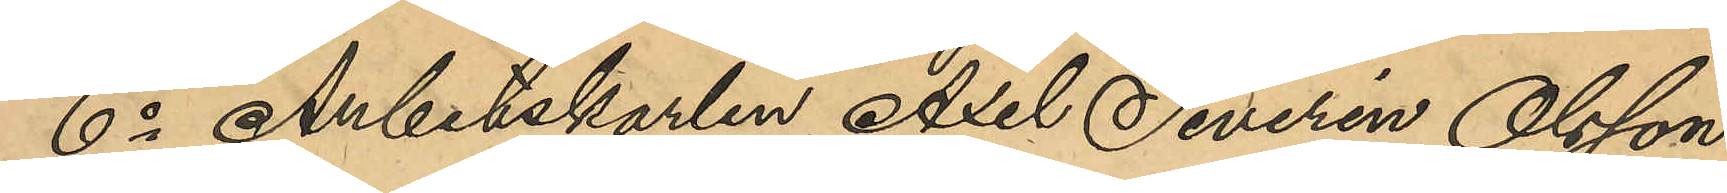6o Arbetskarlen Axel Severin Olsson,
